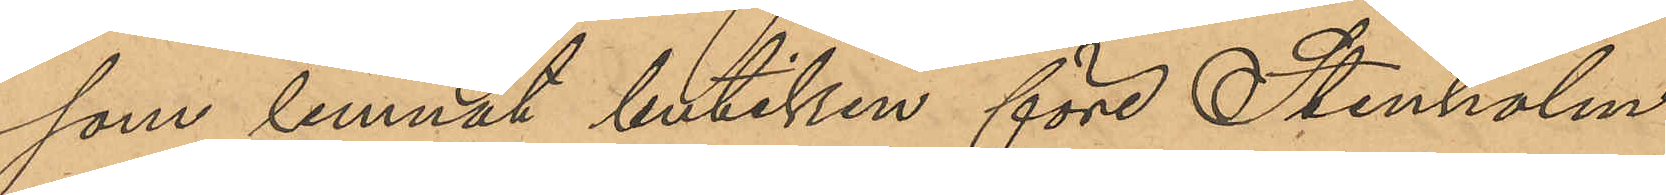som lemnat butiken före Stenholm
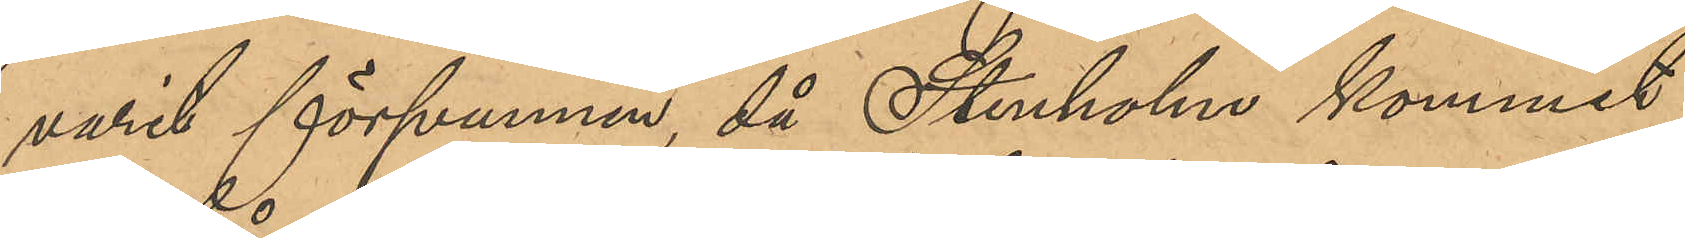varit försvunnen, då Stenholm kommit
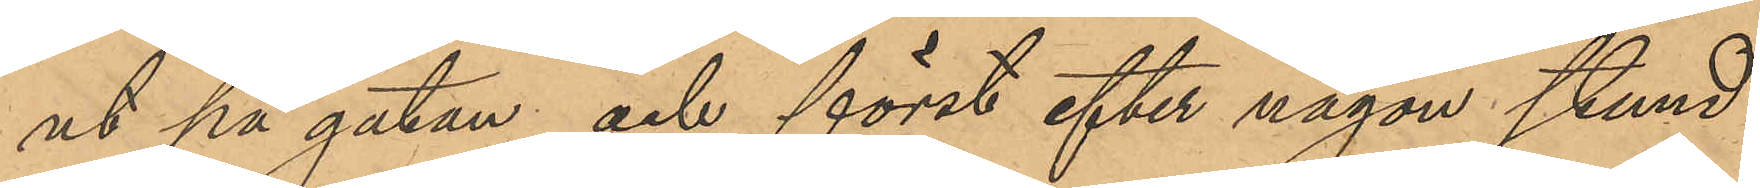ut på gatan och först efter någon stund
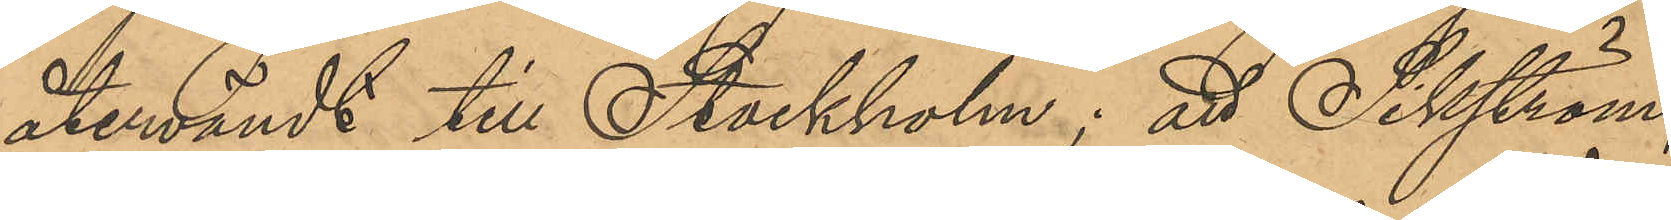återvändt till Stockholm; att Sikström,
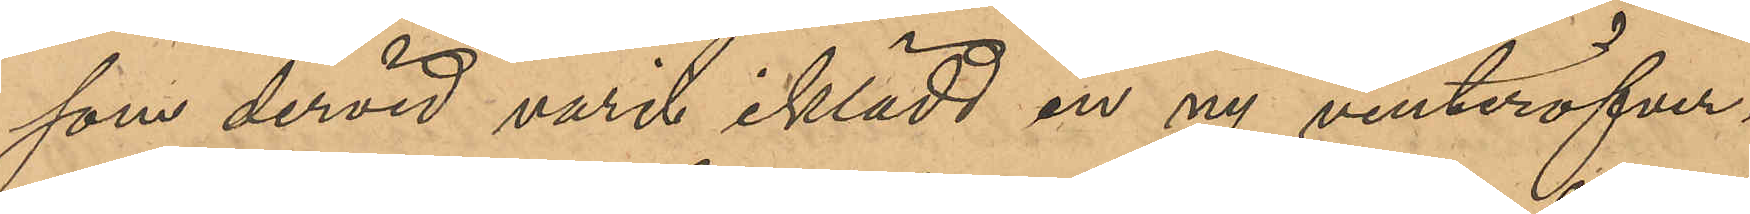som dervid varit iklädt en ny vinteröfver¬
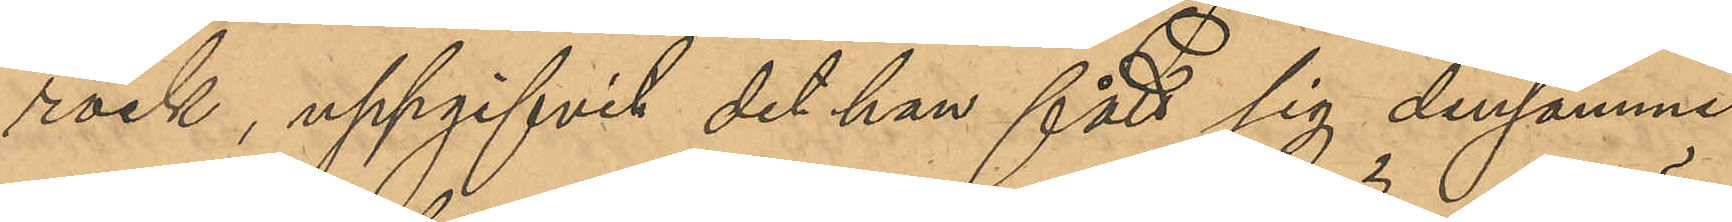rock, uppgifvit det han fått sig densamme
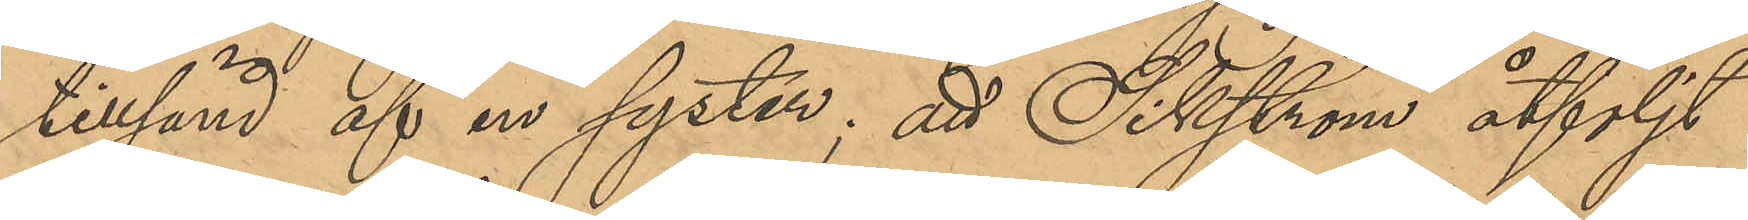tillsänd af en syster; att Sikström åtföljt
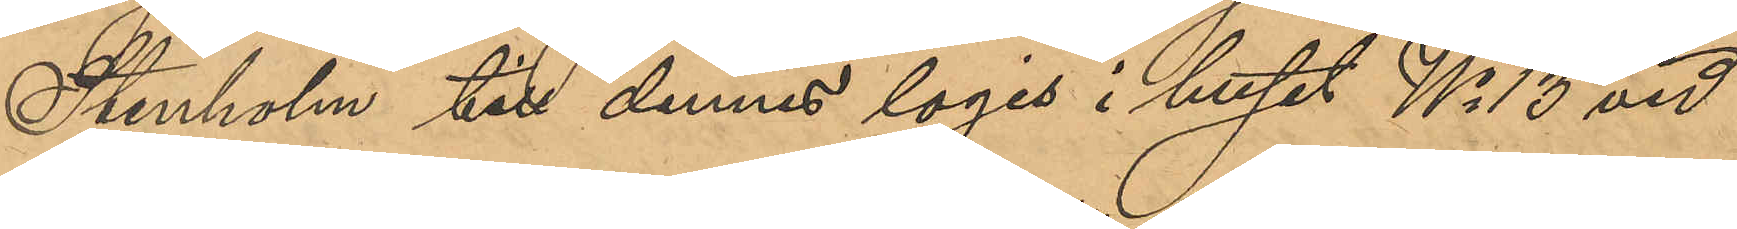Stenholm till dennes logis i huset No 13 vid
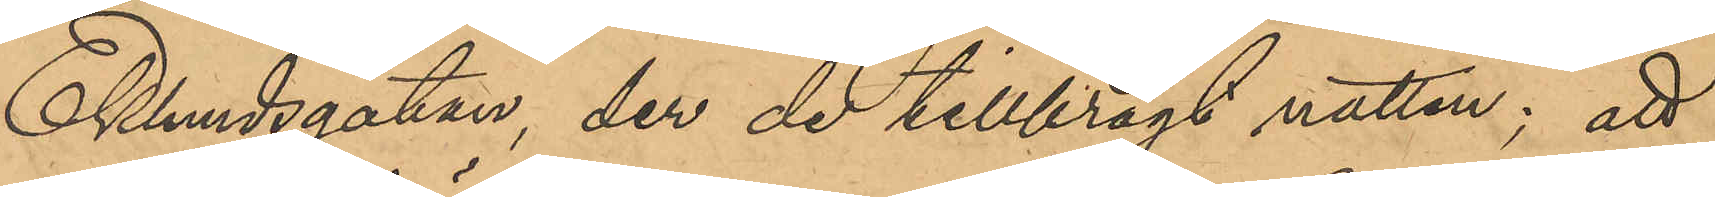Eklundsgatan, der de tillbragt natten; att
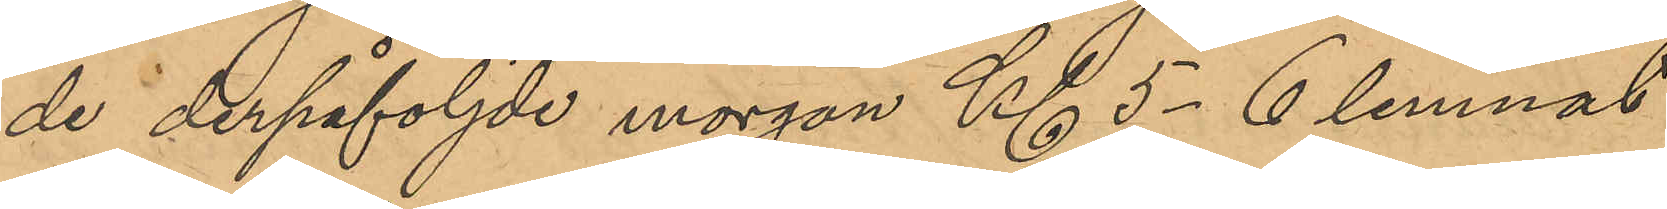de derpåföljde morgon Kl 5-6 lemnat
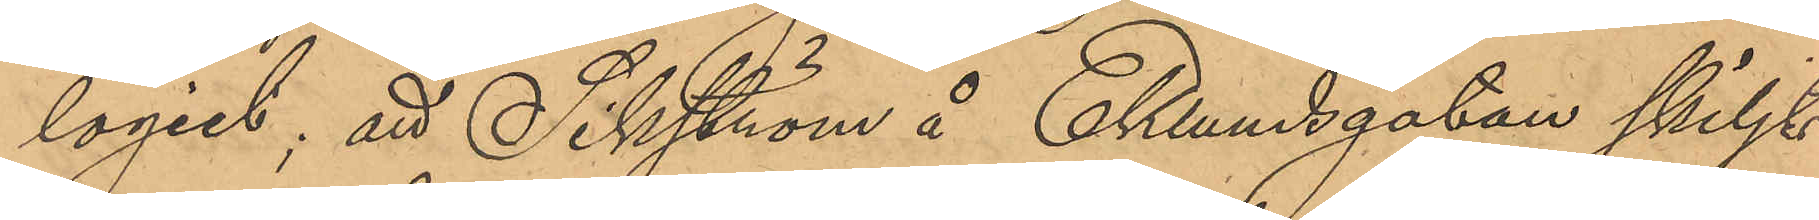logiet; att Sikström å Eklundsgatan skiljts
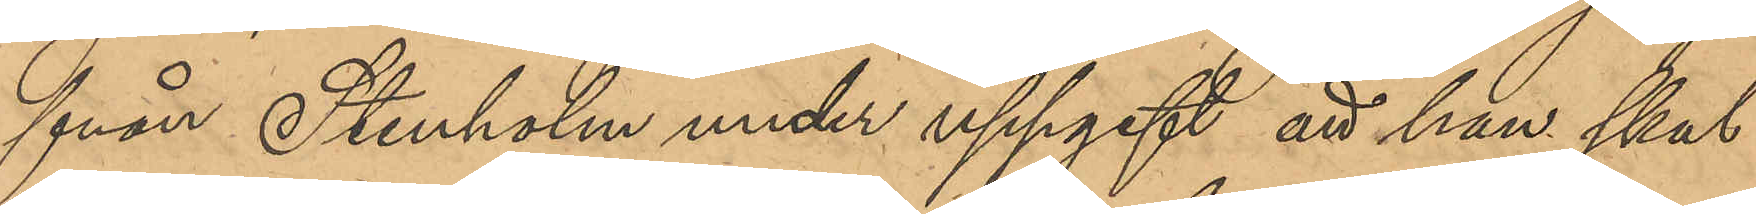från Stenholm under uppgift att han skul¬
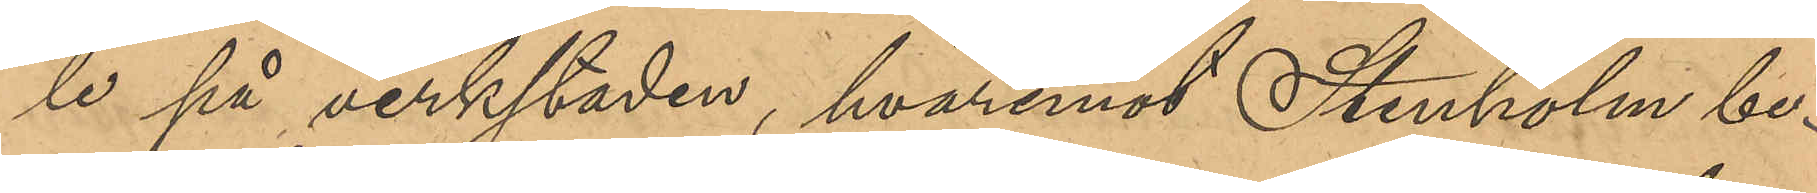le på verkstaden, hvaremot Stenholm be¬
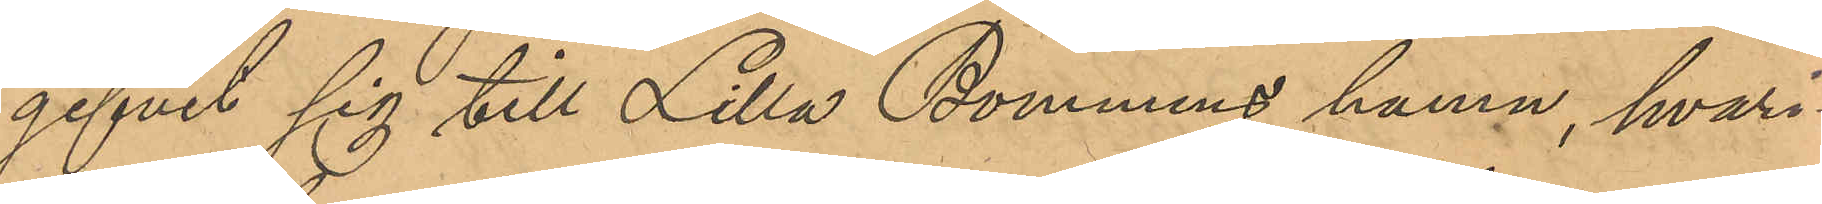gifvit sig till Lilla Bommens hamn, hvari¬
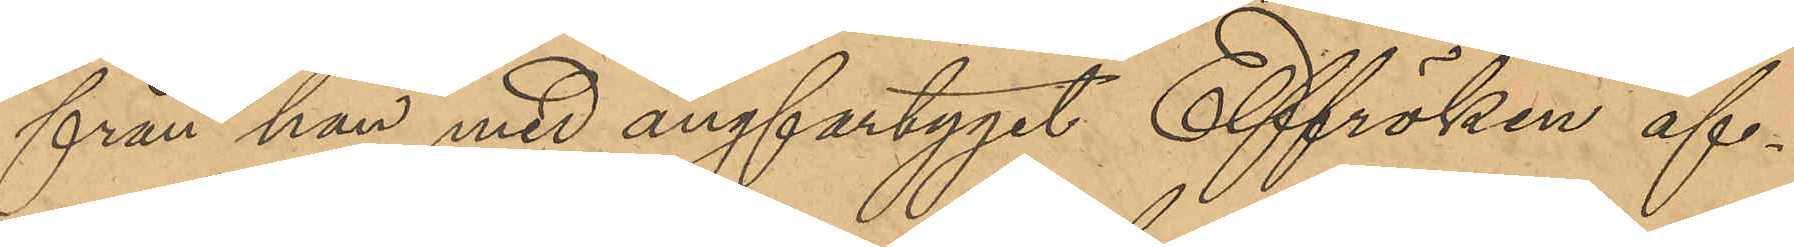från han med ångfartyget Elffröken af¬
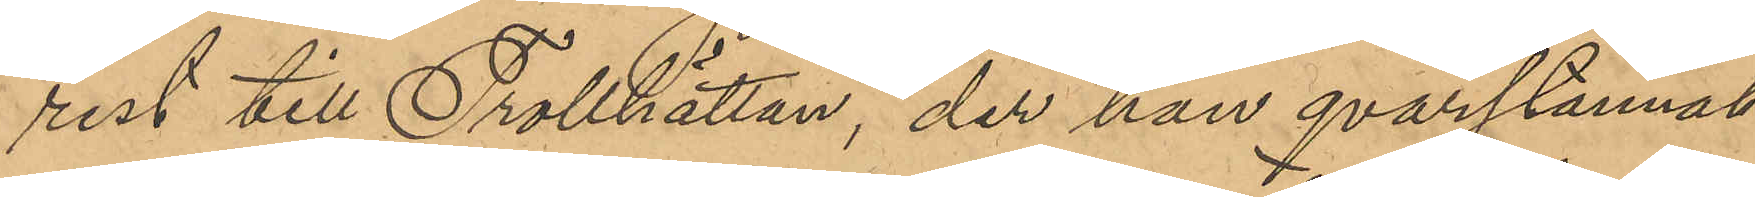rest till Trollhättan, der han qvarstannat
